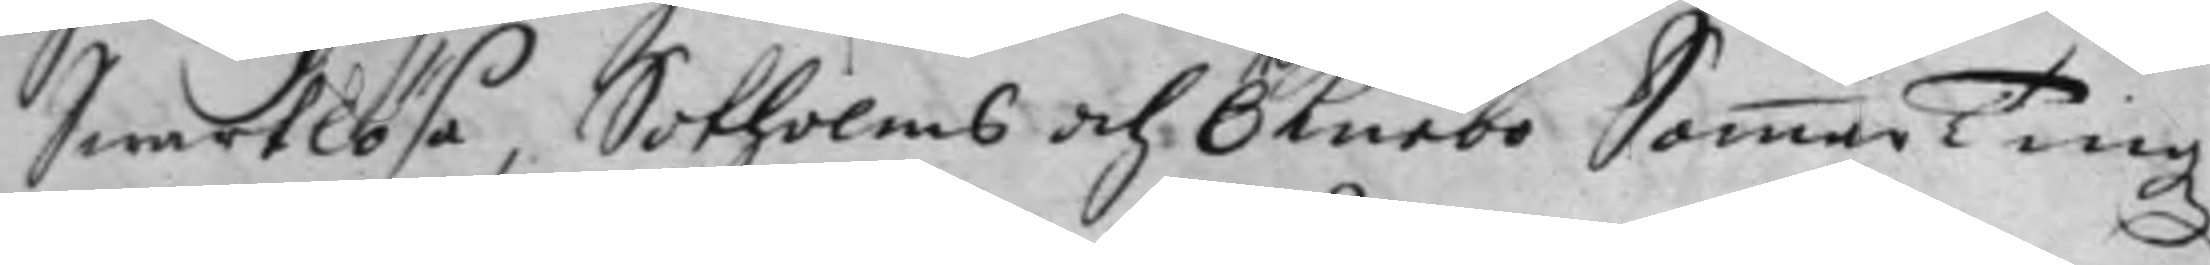Swartlösa, Sotholms och Öknebo SommarTingz
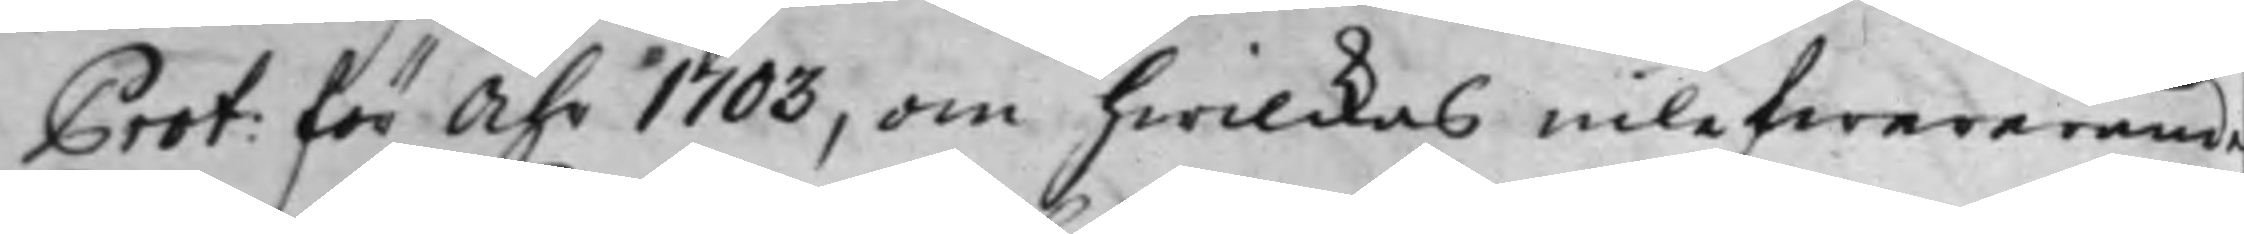Prot: för Åhr 1703, om hwilckas inlefwererande
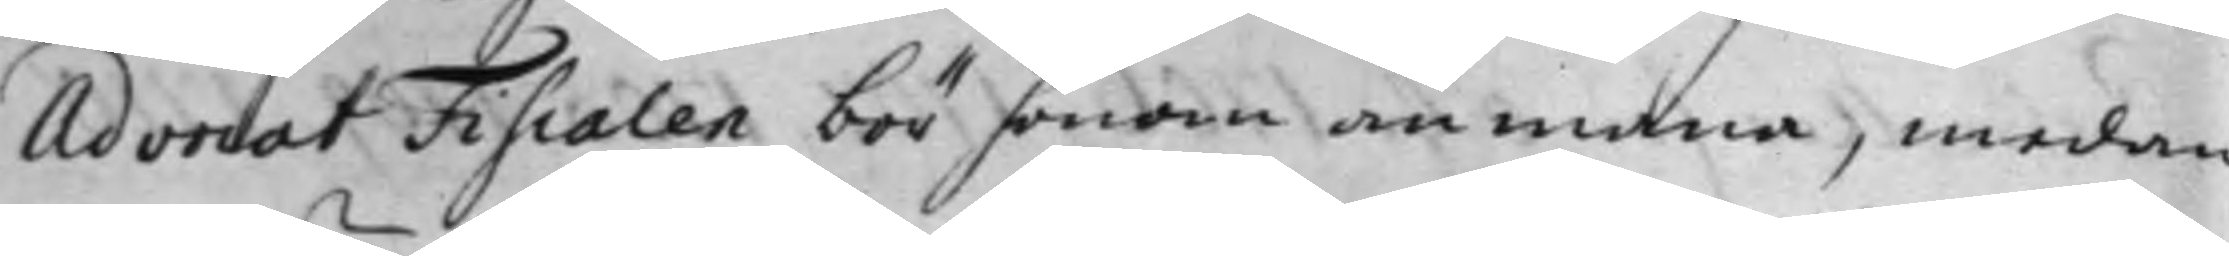Advocat Fiscalen bör honom anmana, medan
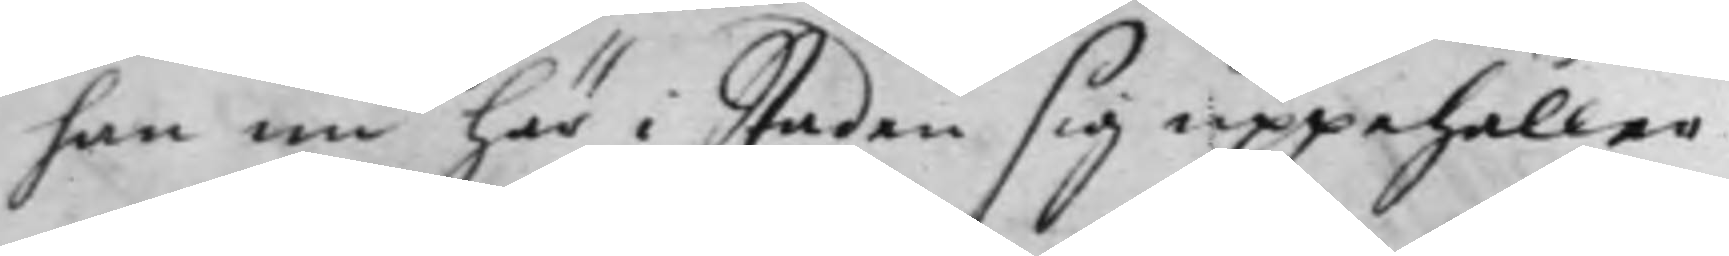han nu här i Staden sig uppehåller.
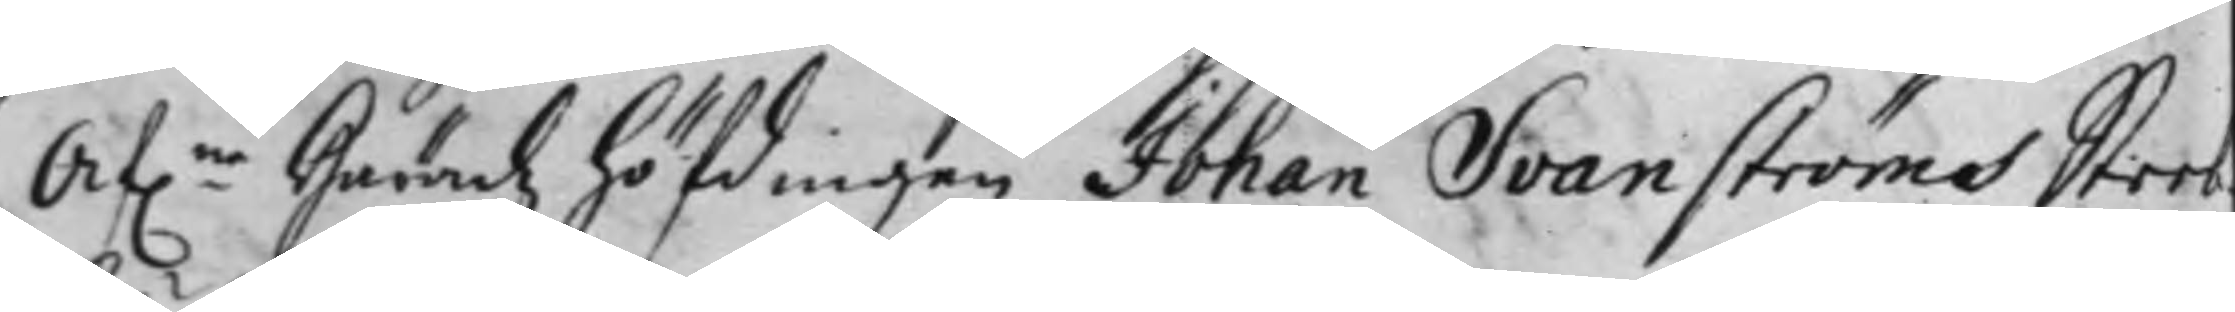Af.ne Häradz höfdingen Johan Svanströms Sterb¬
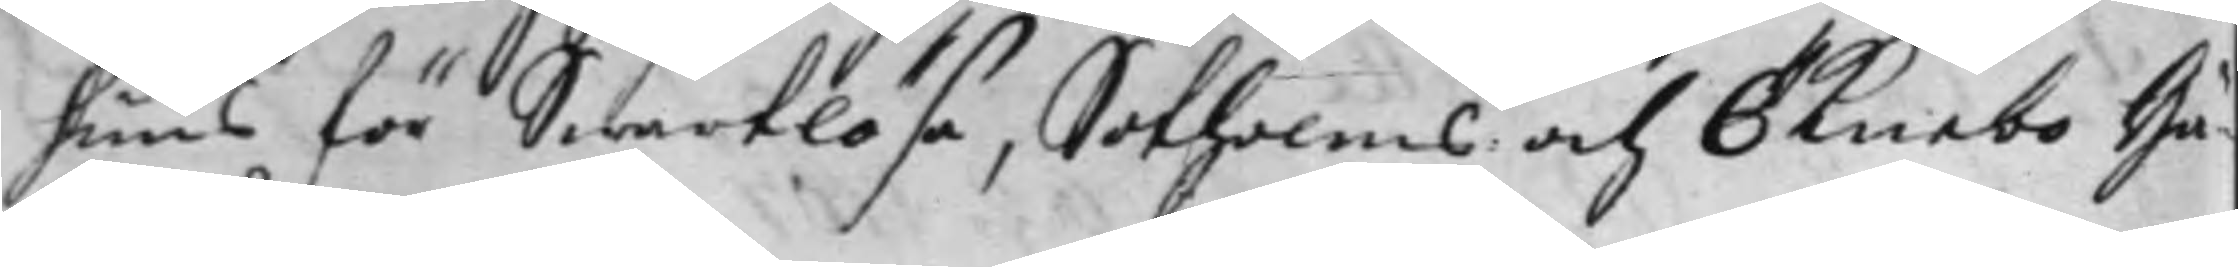huus för Swartlösa, Sotholms och Öknebo Hä¬
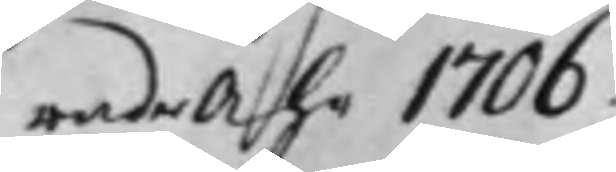rader Åhr 1706.
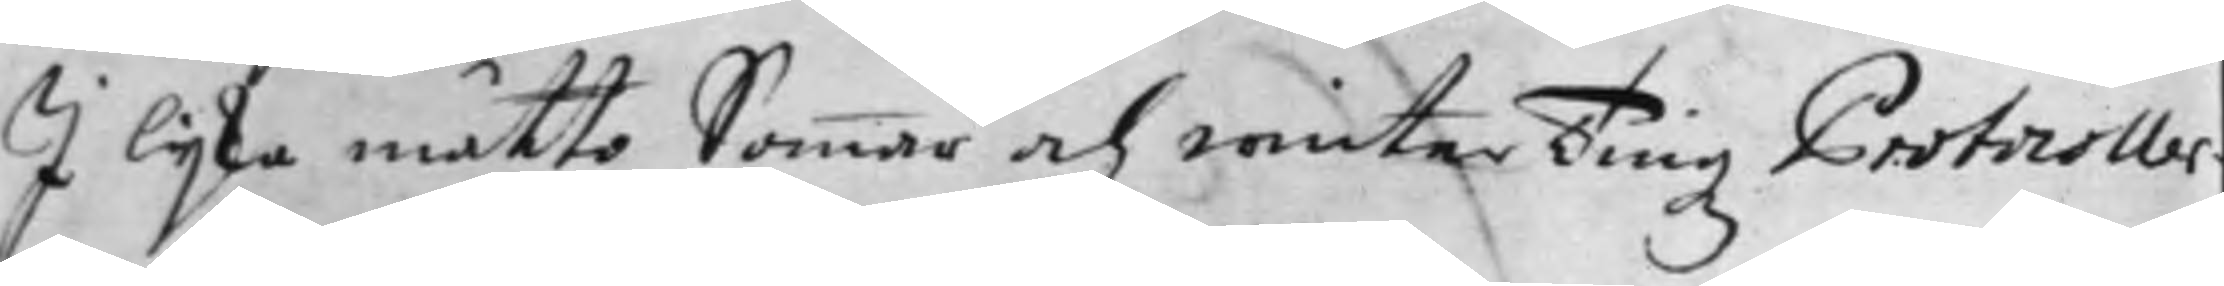I lijka måtto Sommar och winterTingz Protocoller¬
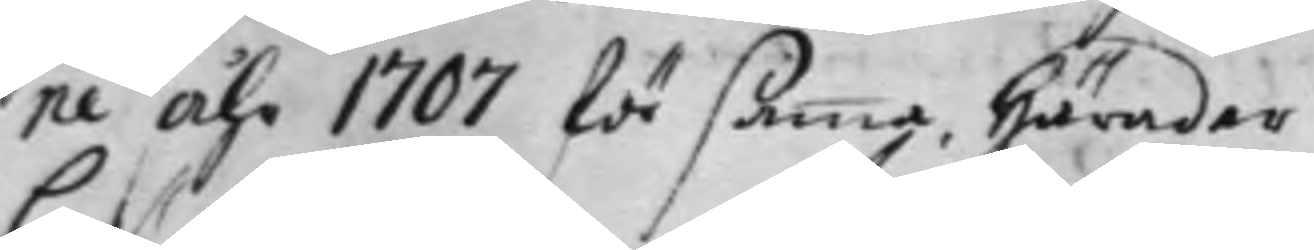ne Åhr 1707 för samma Härader.
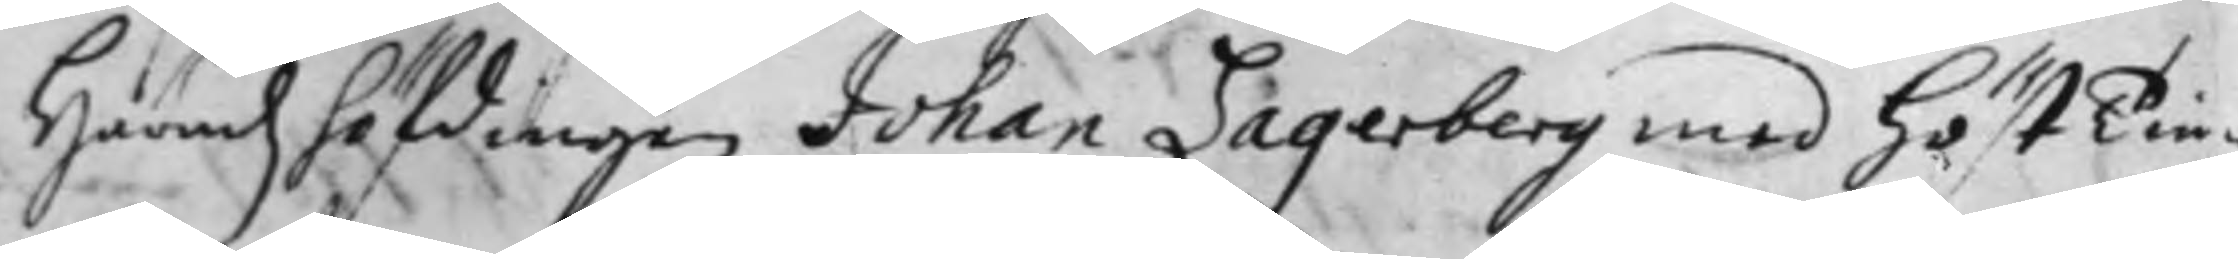Häradz höfdingen Johan Lagerberg med höstTin¬
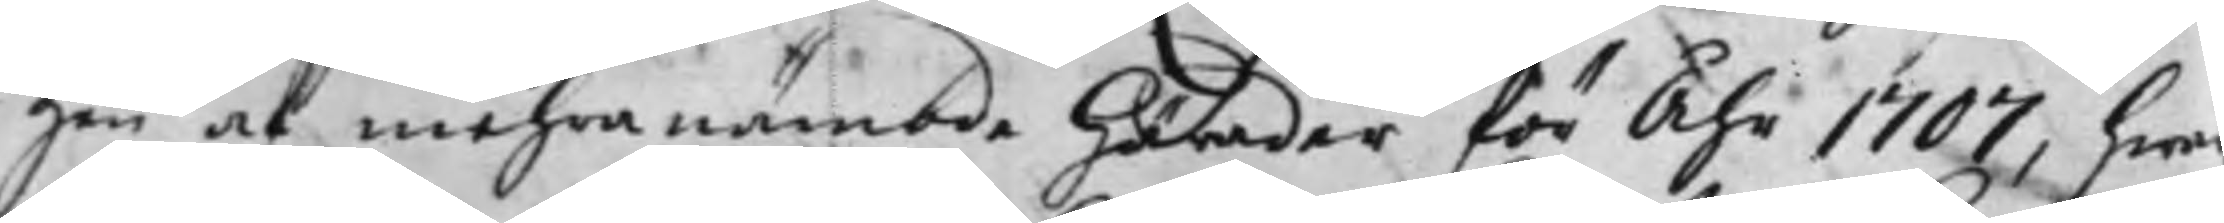gen af mehranämbde härader för Åhr 1707, hwa
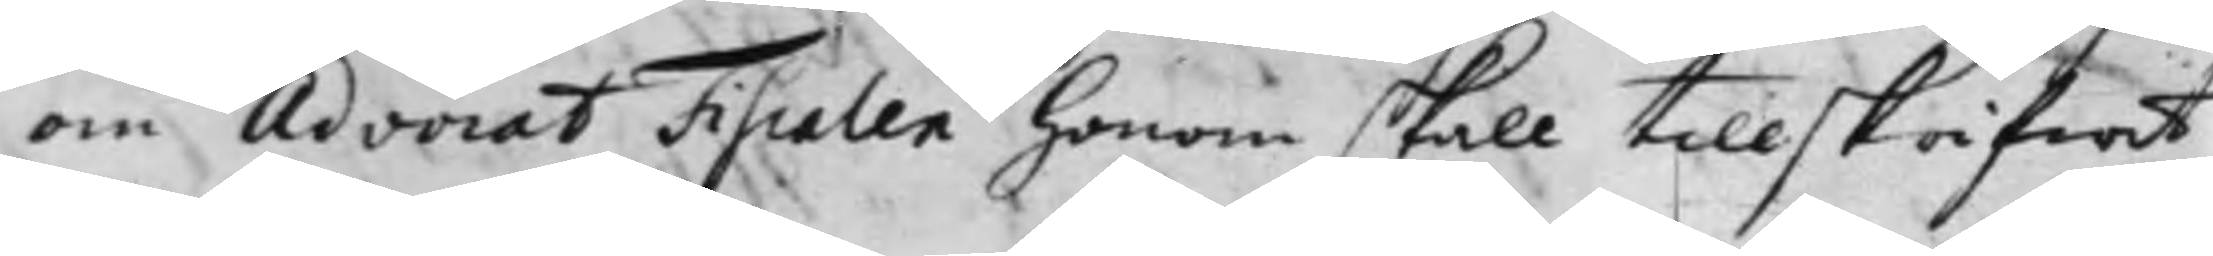om Advocat Fiscalen honom skall tillskrifwit
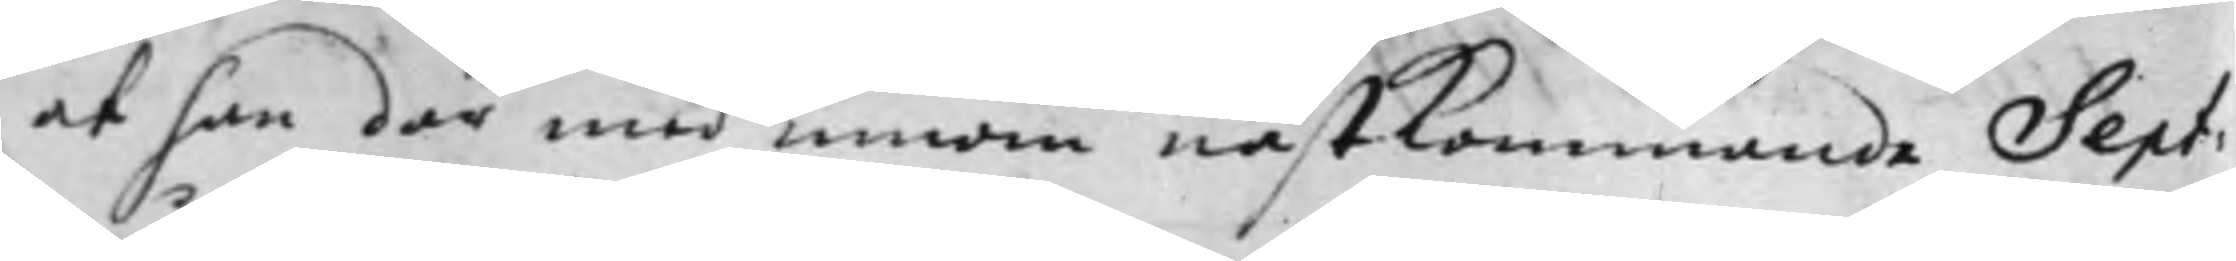at han där med innom nästkommande Sept:
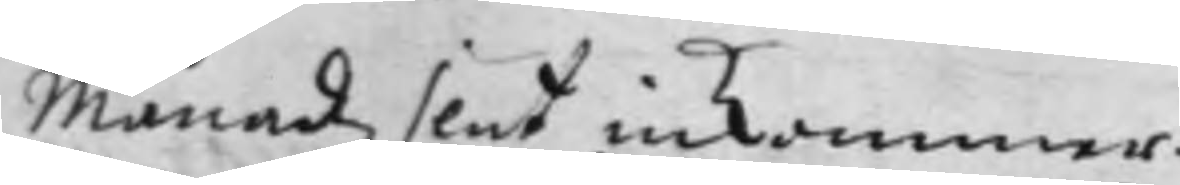Månadz slut inkommer.
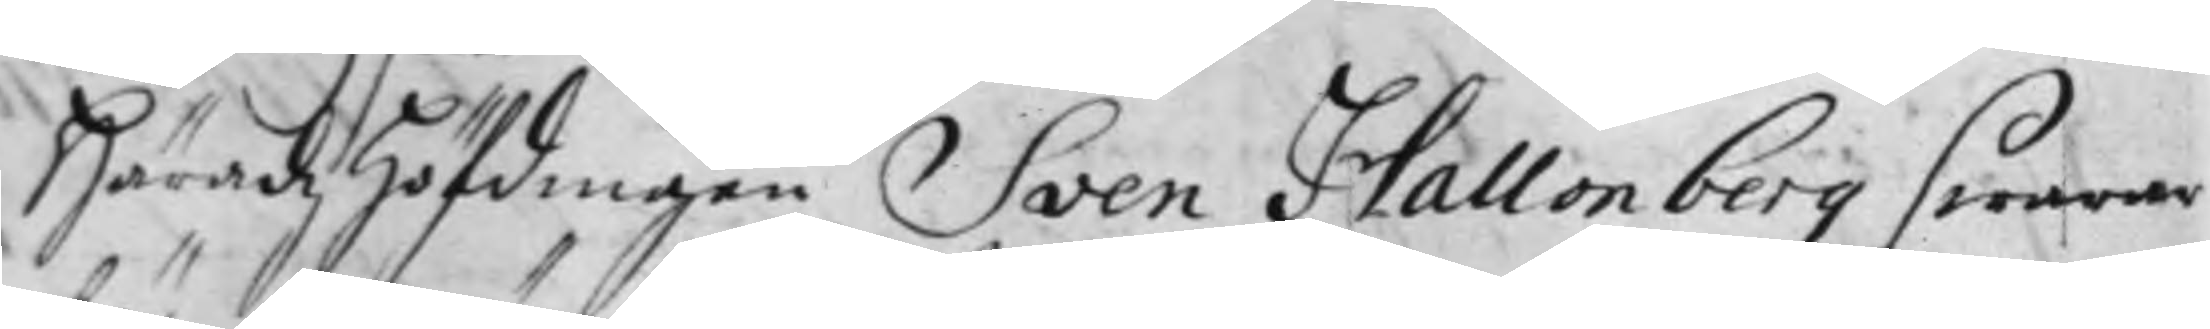Häradz Höfdingen Sven Hallonberg swarar
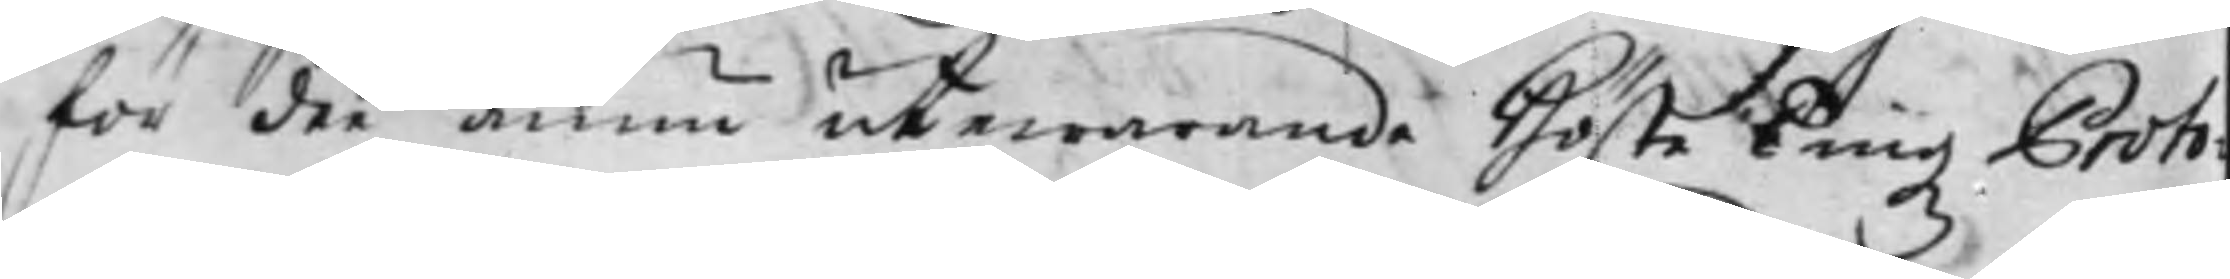för dee ännu utewarande Höste Tingz Proto¬
